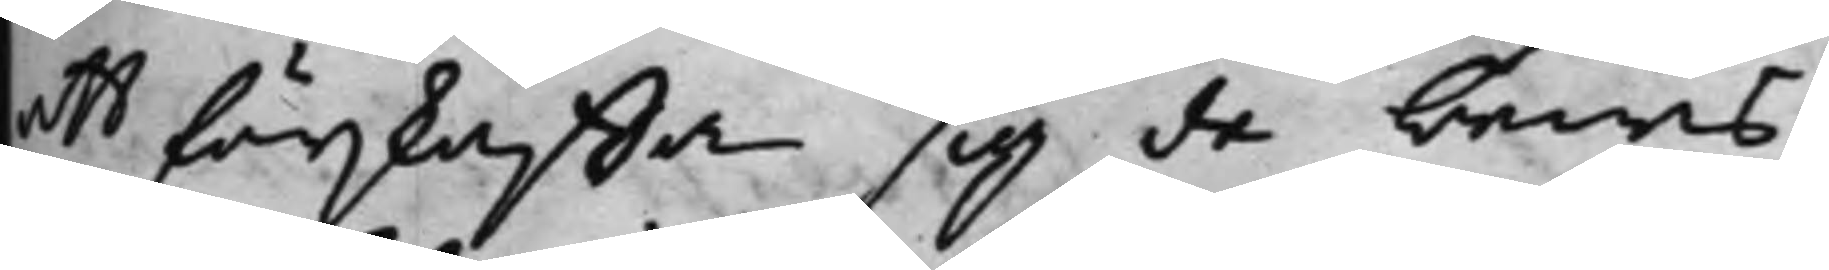att förskaffa sig de bewis,
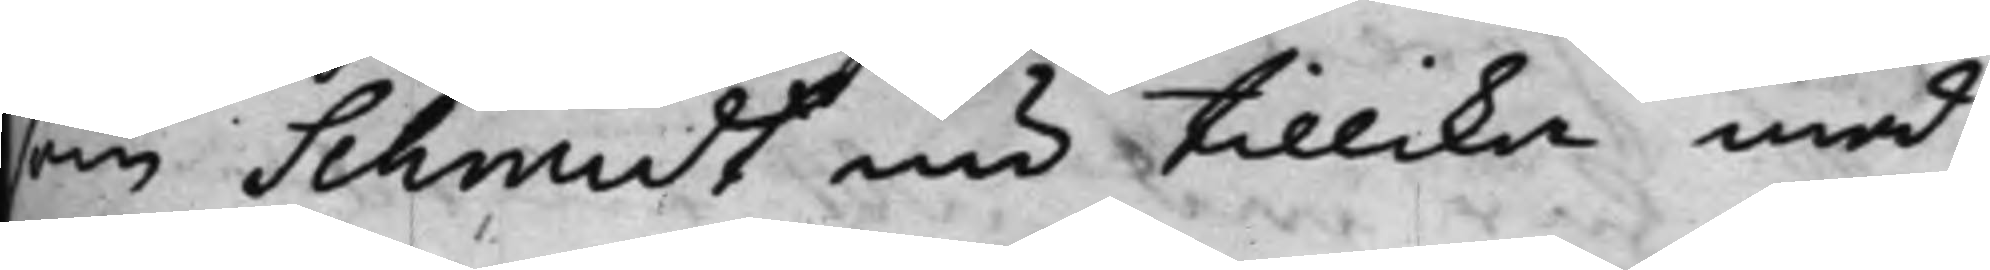som Schmidt nu tillika med
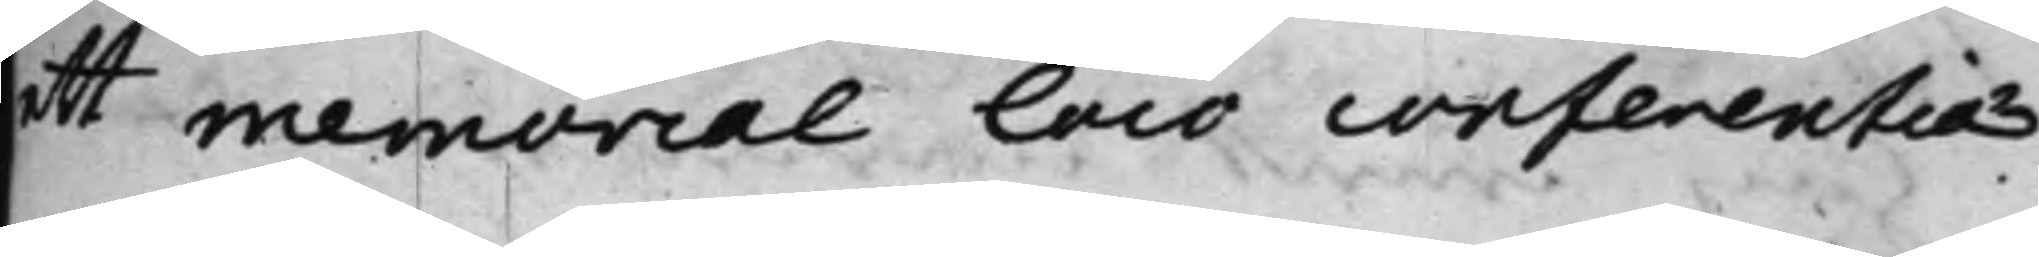ett memorial loco conferentiæ
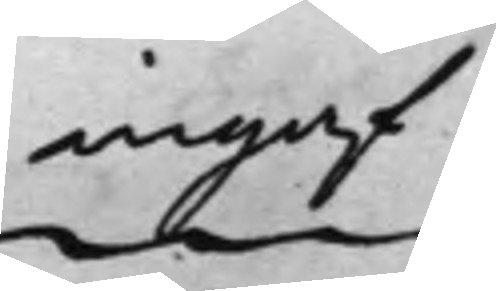ingaf
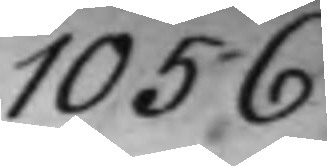1056.
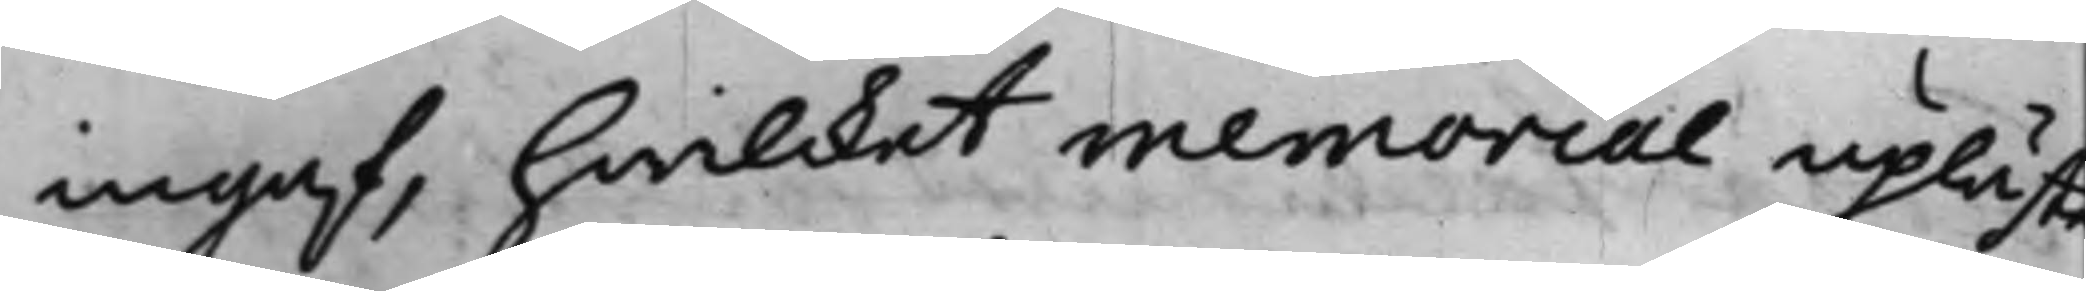ingaf, hwilcket memorial upläste
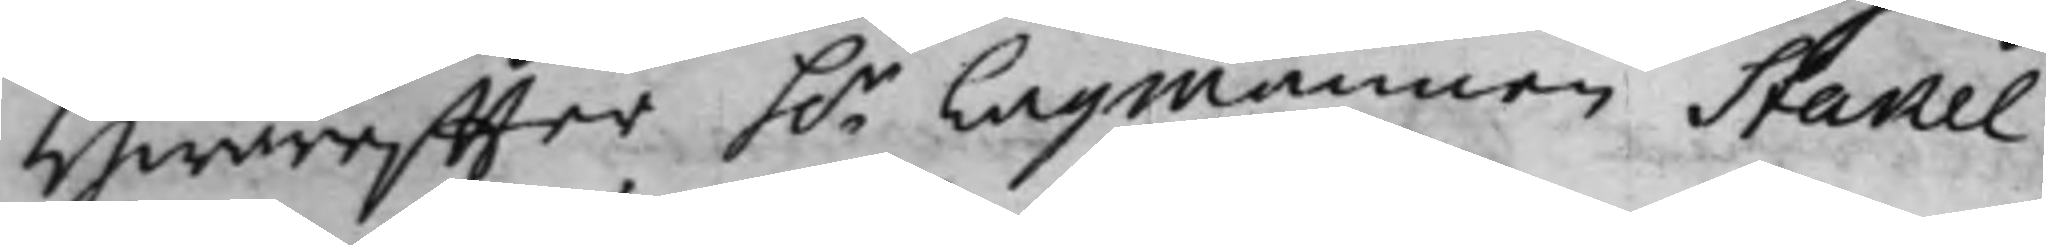Hwareffter h.r Lagmannen Stakel¬
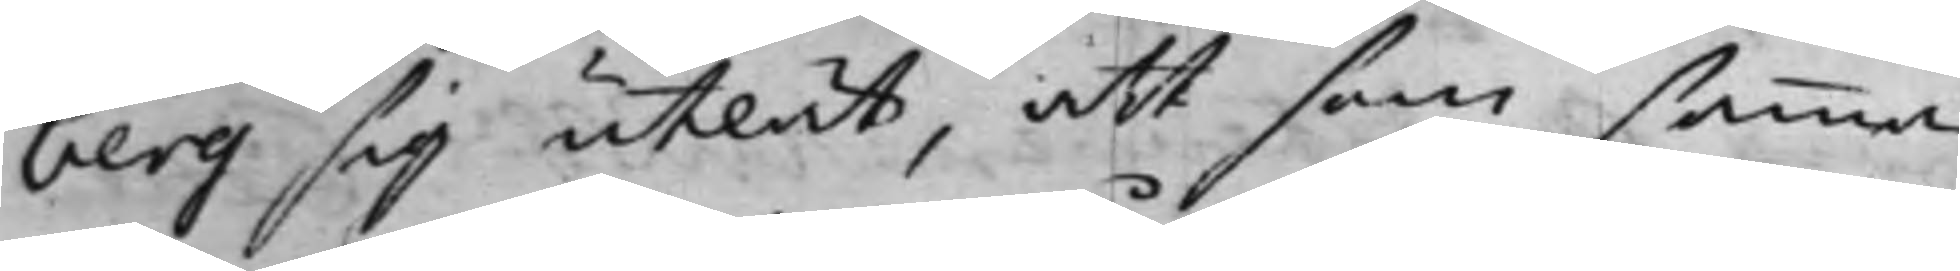berg sig utlät, att som samma
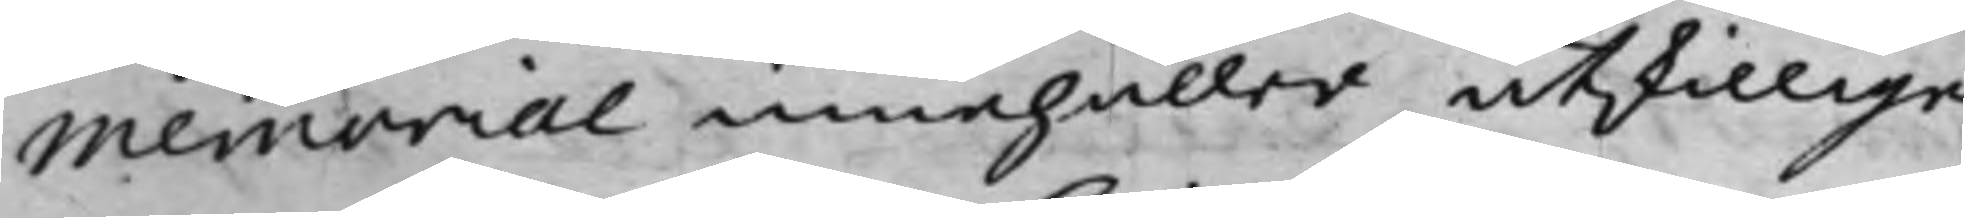Memorial innehåller åtskillige
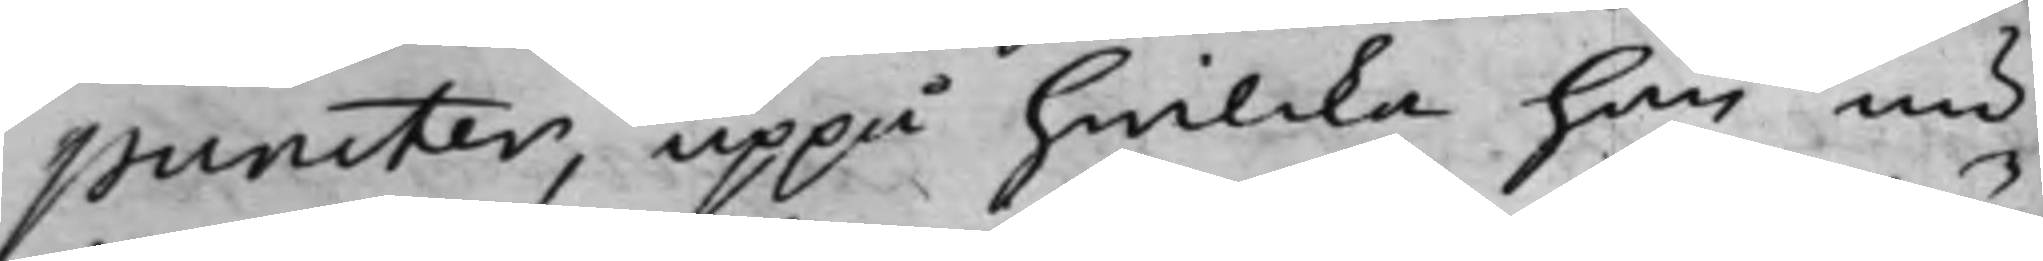puncter, uppå hwilcka han nu
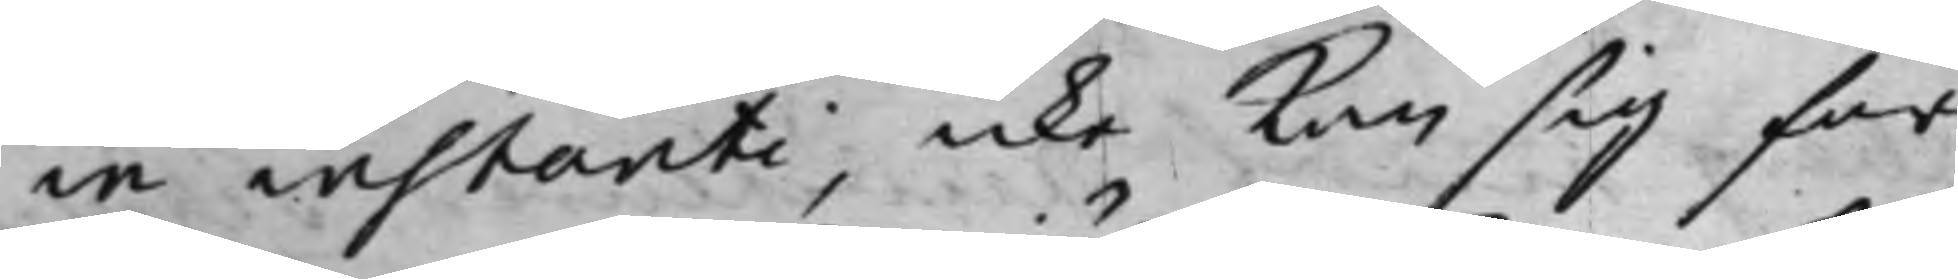in instanti, icke kan sig för¬
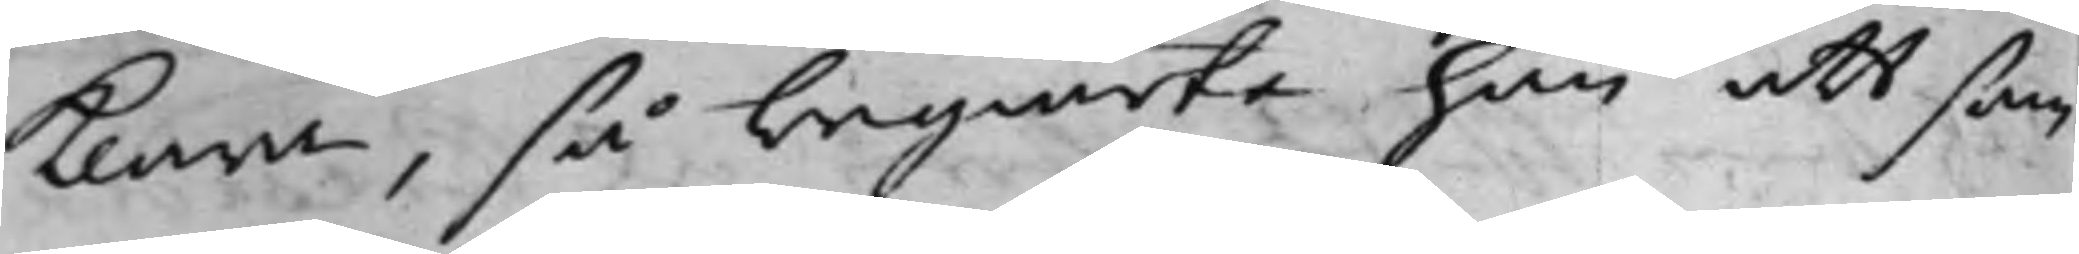klara, så begiärte han att sam¬
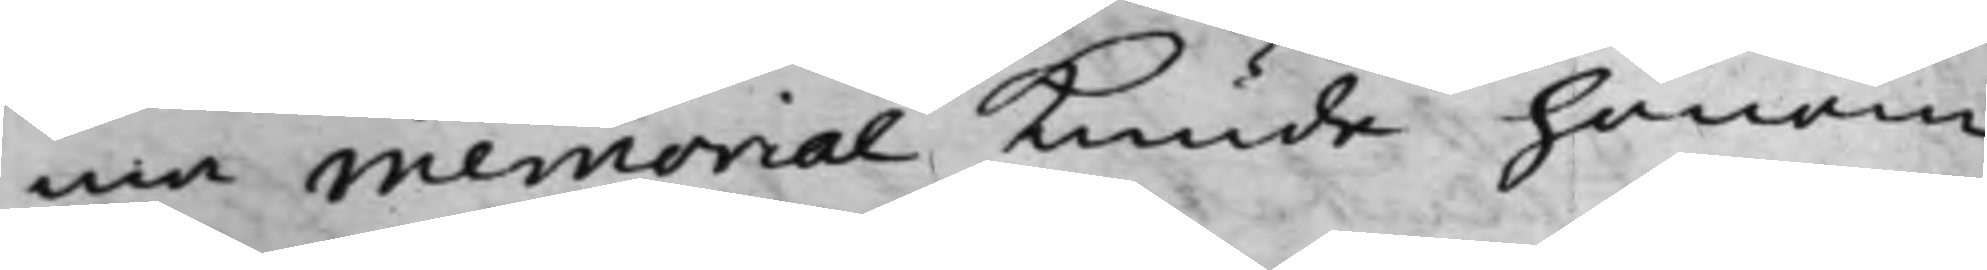ma memorial kunde honom
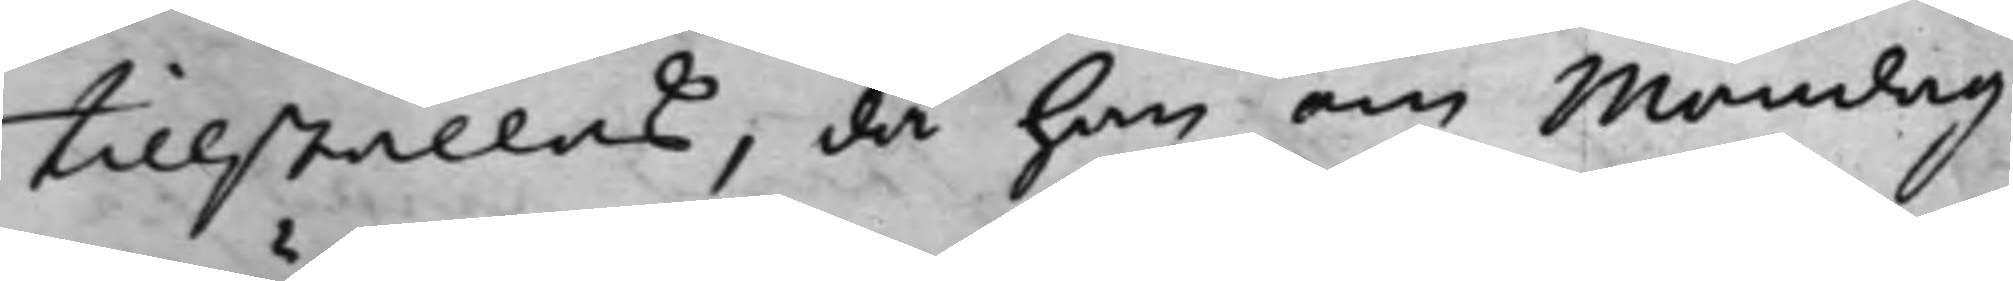tillställas, då han om Mondag
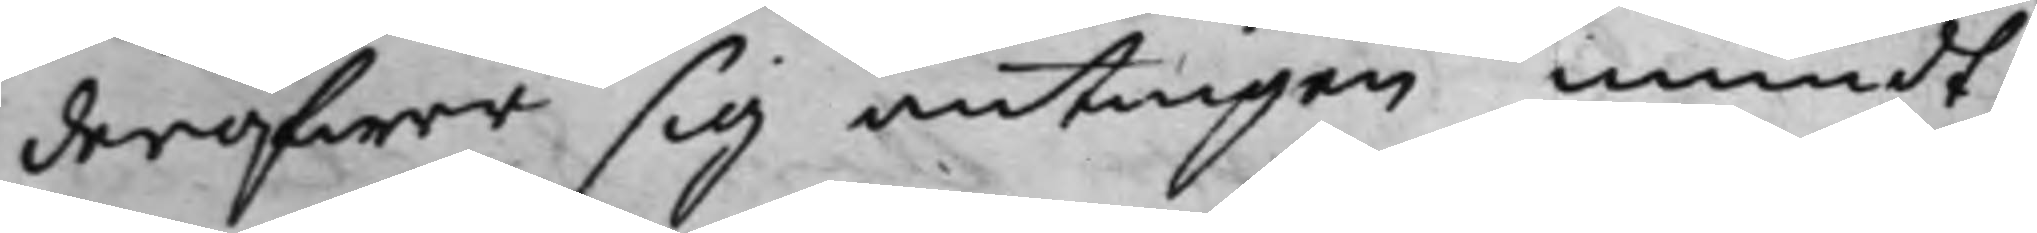deröfwer sig antingen mundt¬
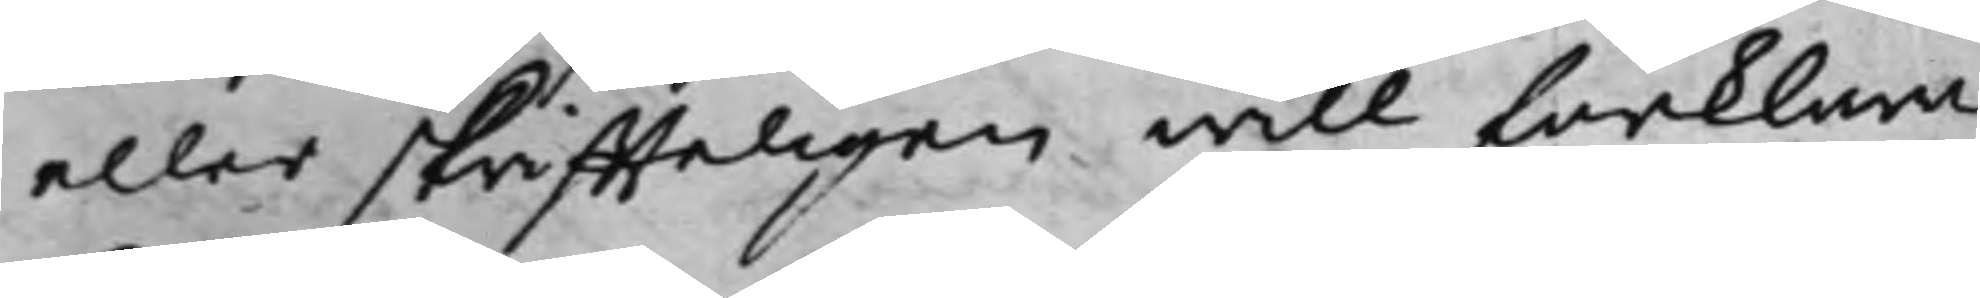eller skriffteligen will förklara.
